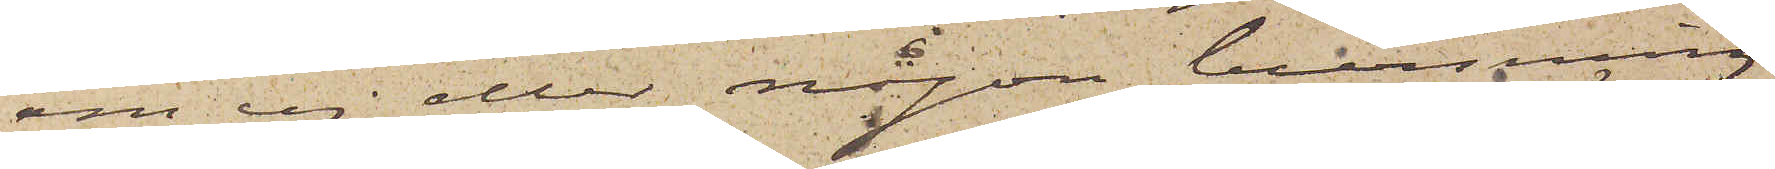om ej eller någon bevisning
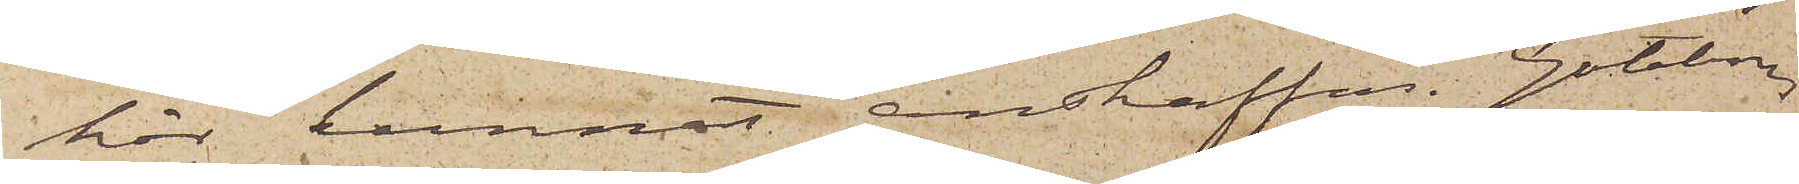här kunnat anskaffas. Göteborg
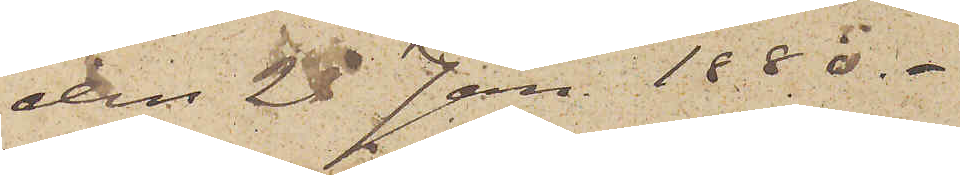den 28 Jan. 1880.
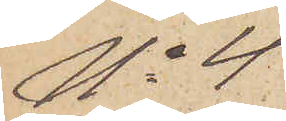No 4.
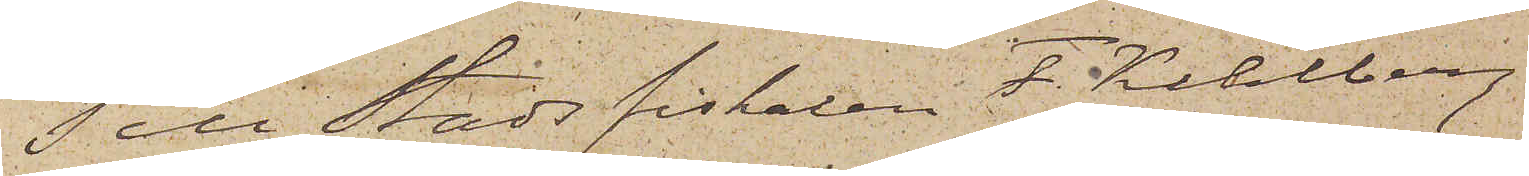Till Stadsfiskalen J. Kihlberg,
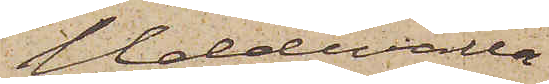Uddevalla
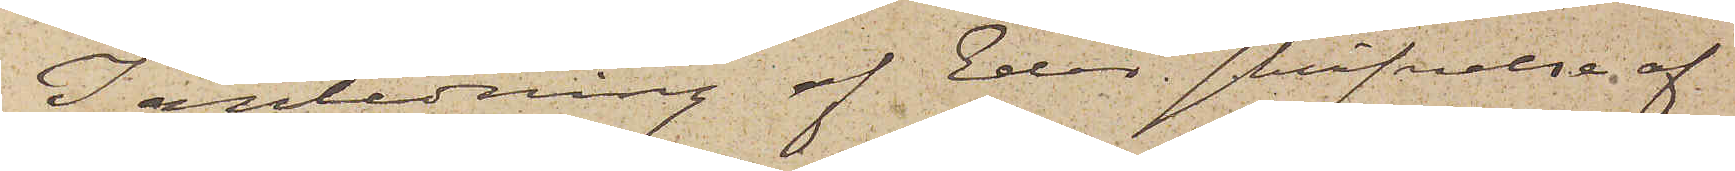I anledning af Eder skrifvelse af
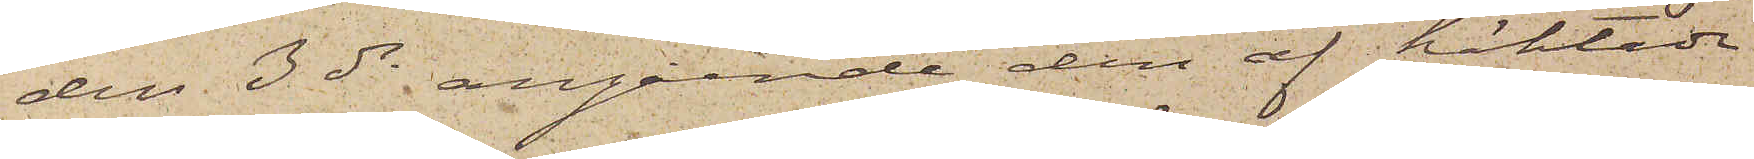den 3 ds angående den af häktade
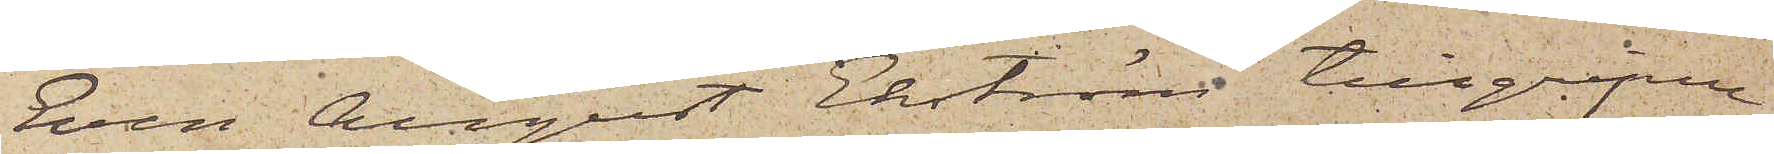Sven August Ekström tillgripne
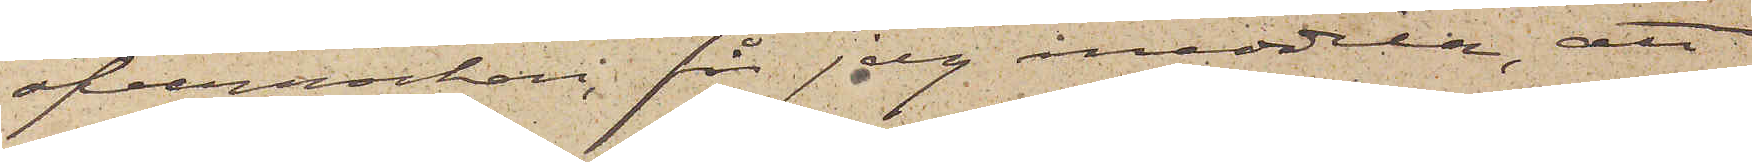öfverrocken, för jag meddela, att
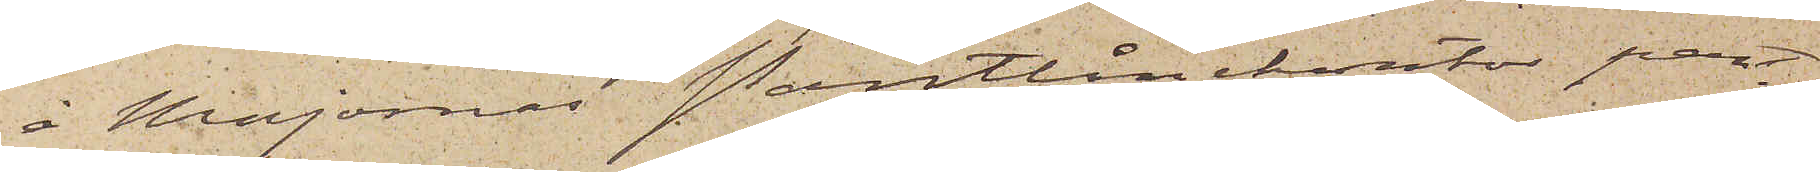å Majornas Pantlånekontor pant¬
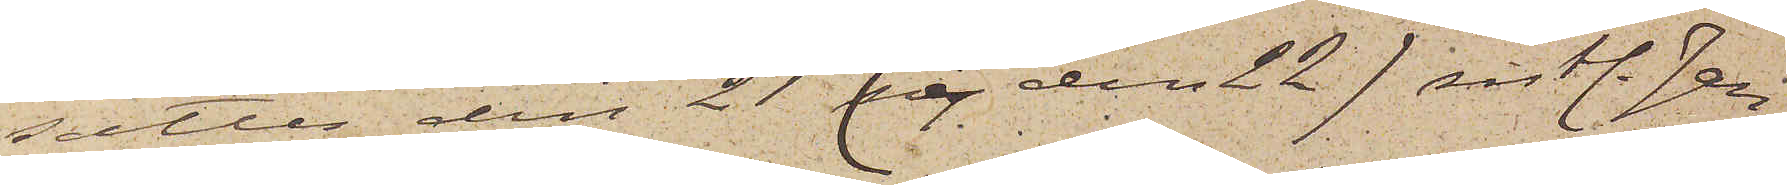sattes den 21 (ej den 22) sistl. Jan
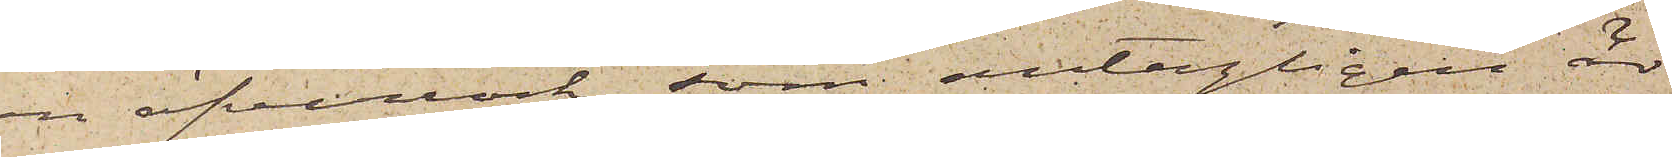en öfverrock, som antagligen är
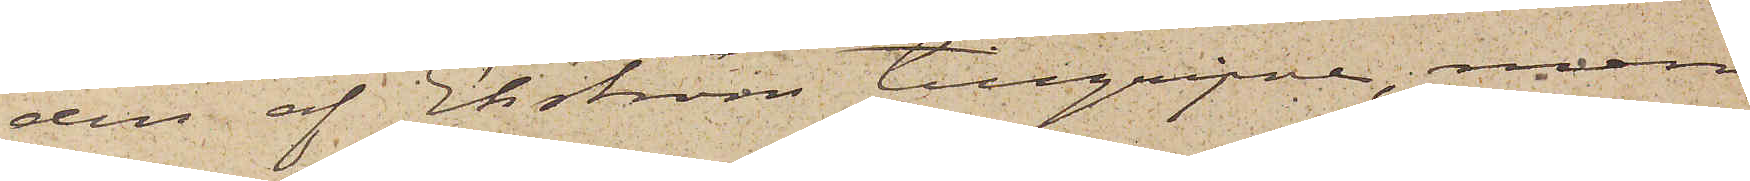den af Ekström tillgripne, men
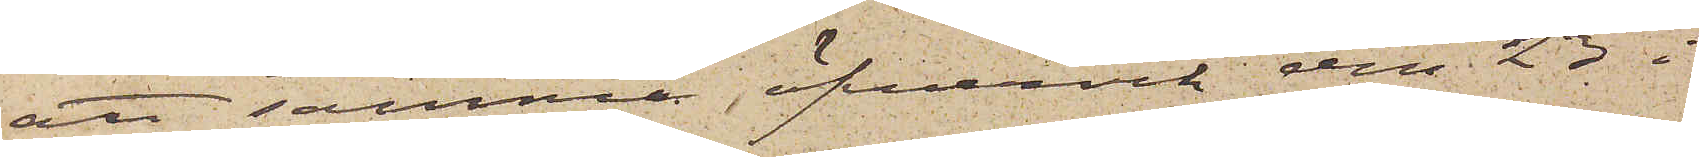att samma öfverrock den 23 i
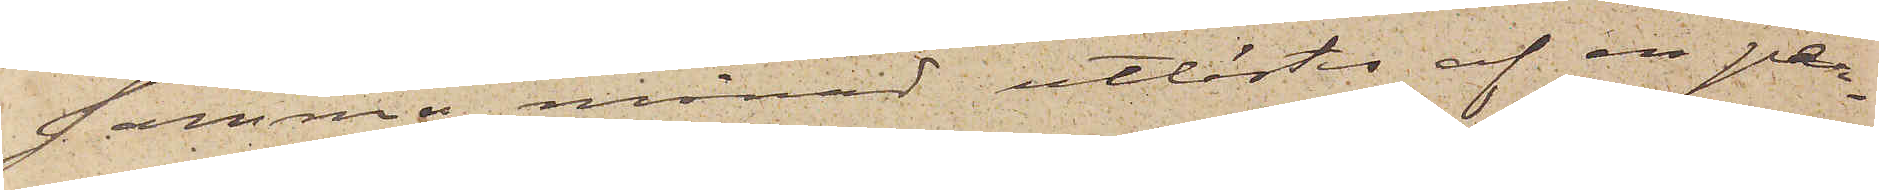samma månad utlöstes af en per¬
